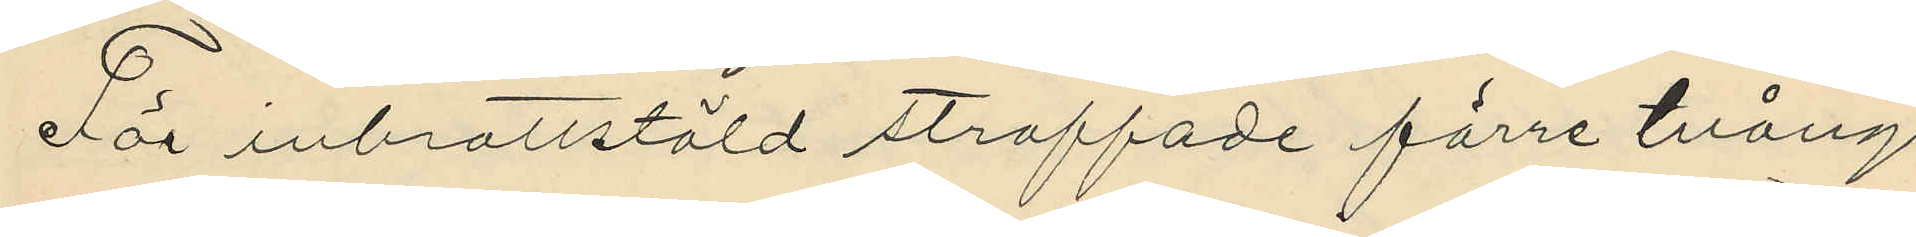För inbrottstöld straffade förre tvångs¬
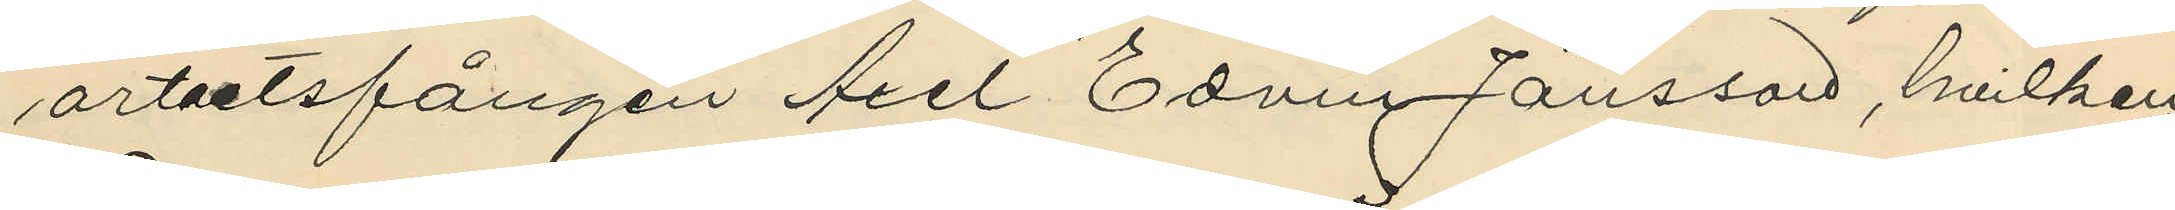arbetsfången Axel Edvin Jönsson, hvilken
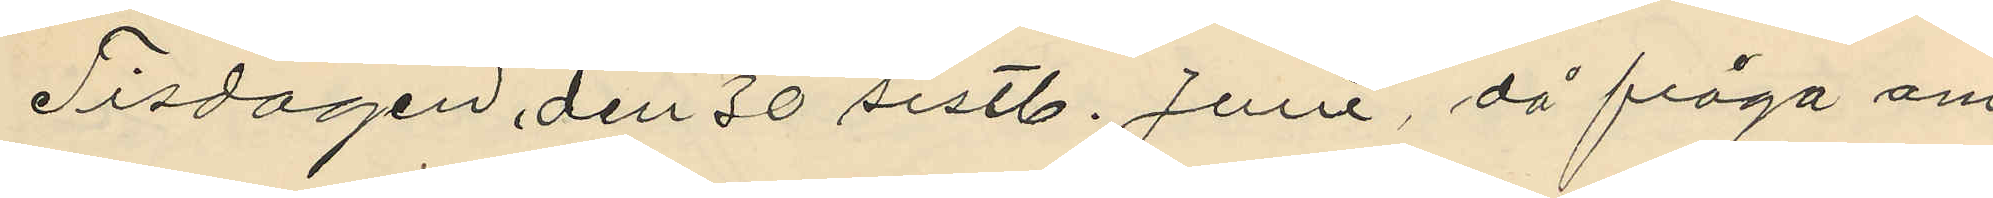Tisdagen den 30 sistl. Juni, då fråga om
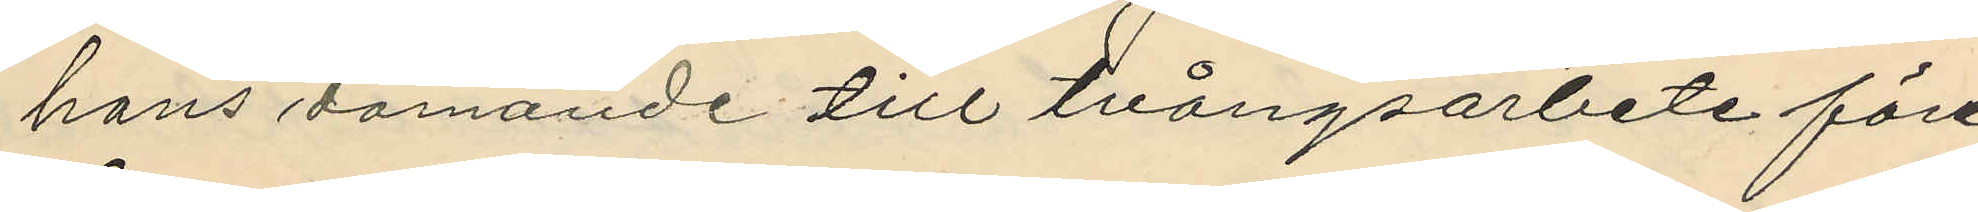hans dömande till tvångsarbete före¬
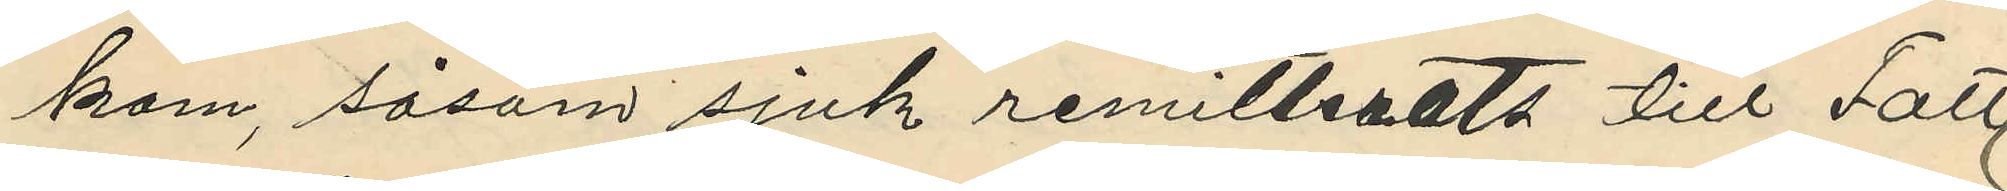kom, såsom sjuk remitterats till Fatt¬
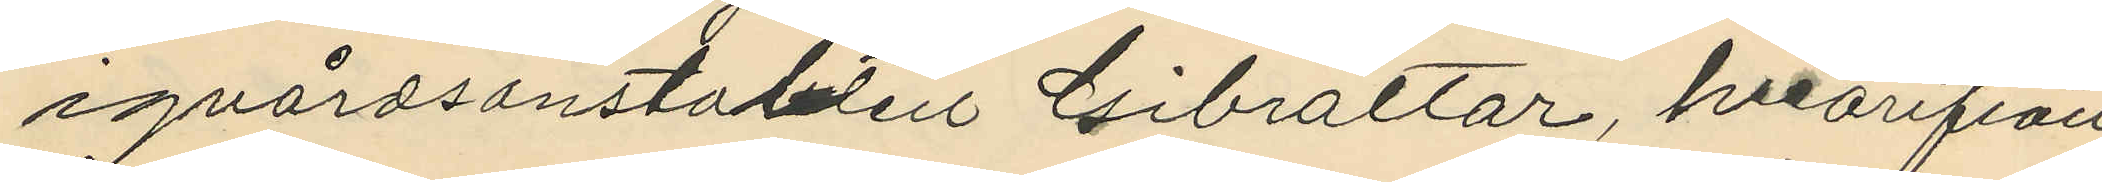igvårdsanstalten Gibraltar, hvarifrån
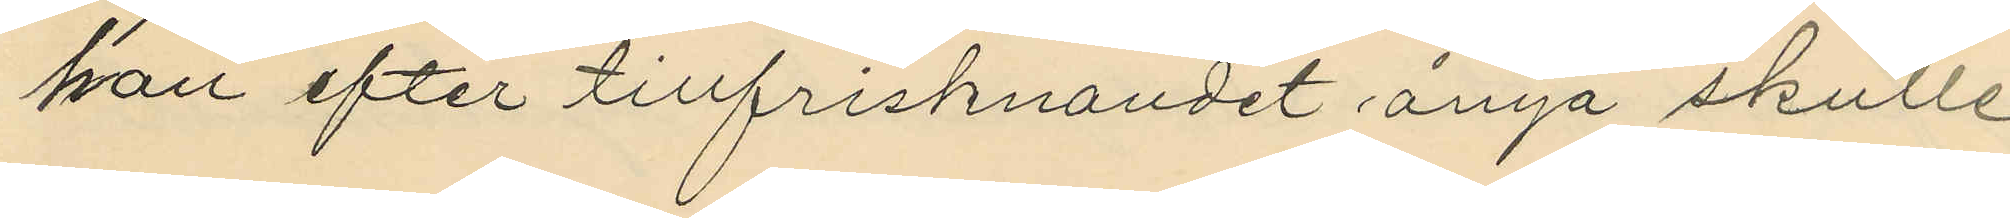han efter tillfrisknandet ånyo skulle
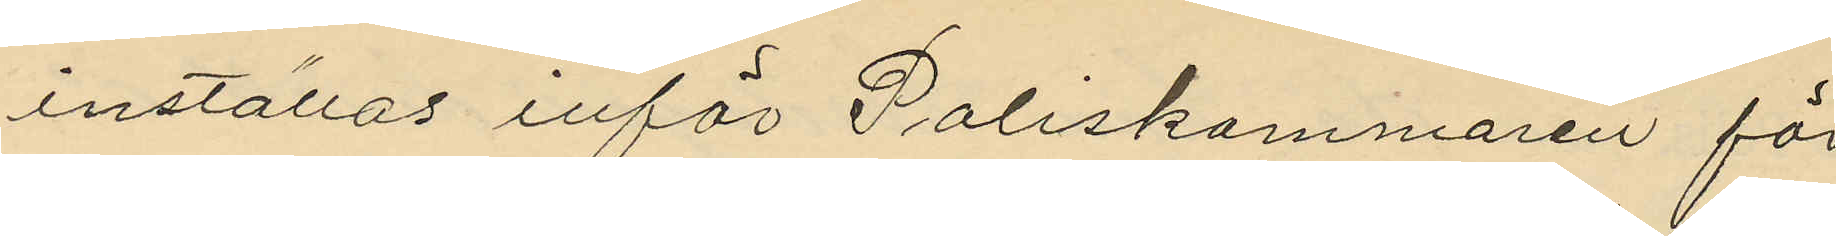inställas inför Poliskammaren för
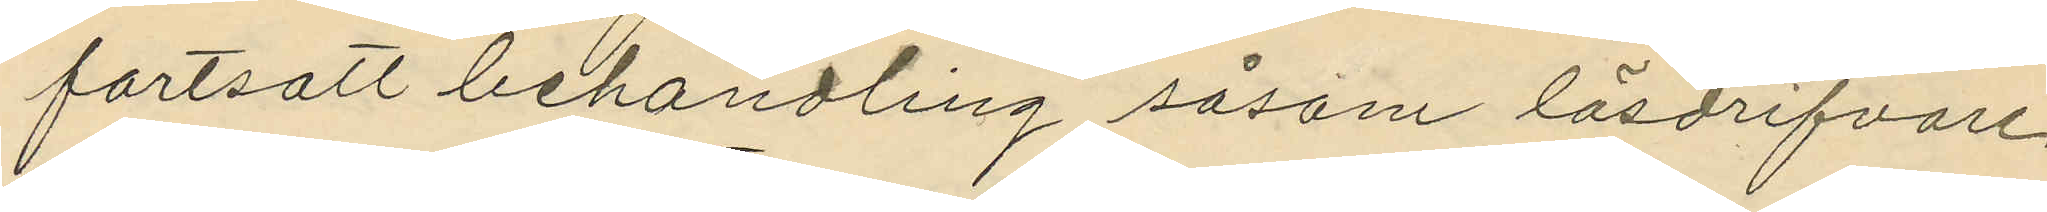fortsatt behandling såsom lösdrifvare,
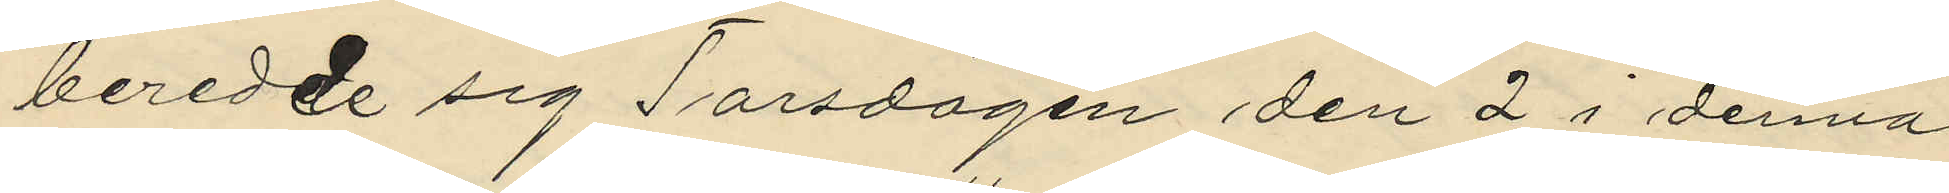beredde sig Torsdagen den 2 i denna
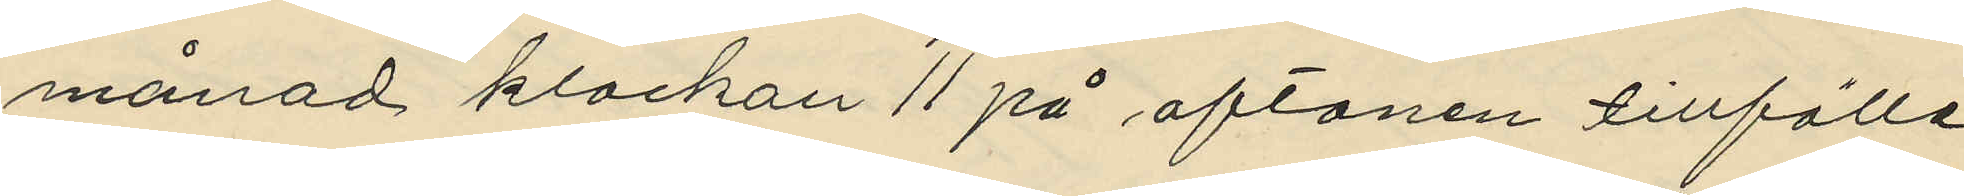månad klockan 11 på aftonen tillfälle
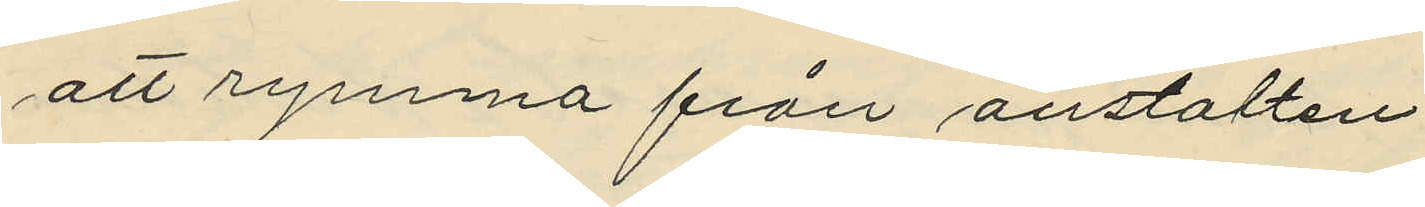att rymma från anstalten.
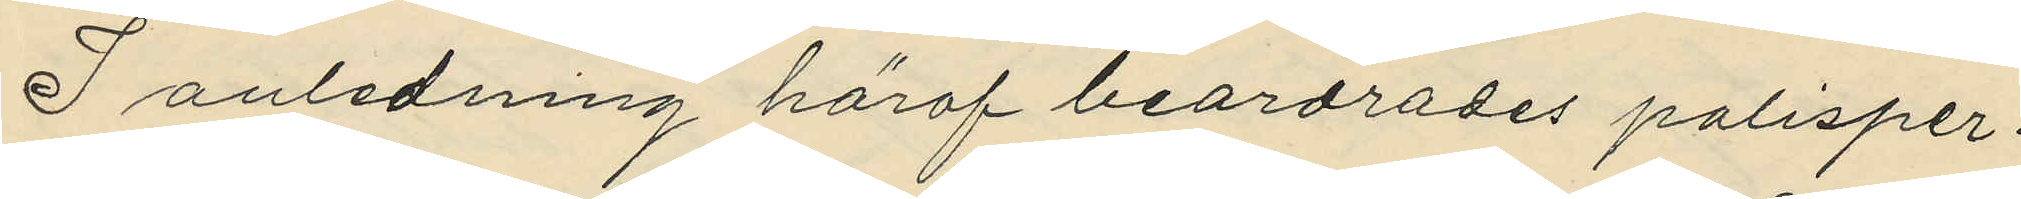I anledning häraf beordrades polisper¬
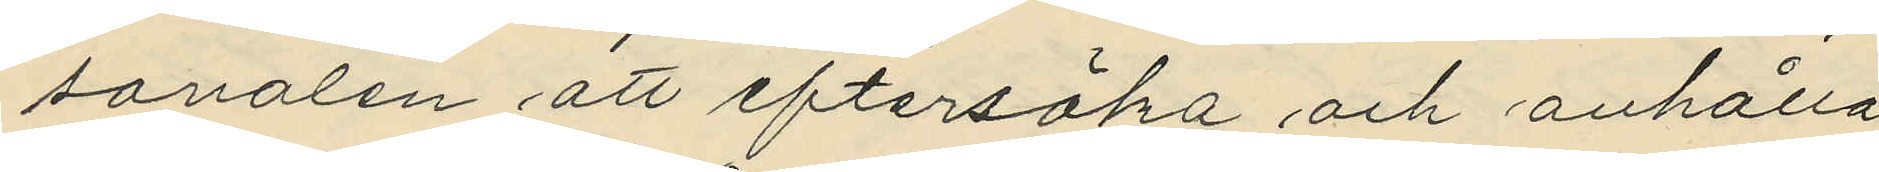sonalen att eftersöka och anhålla
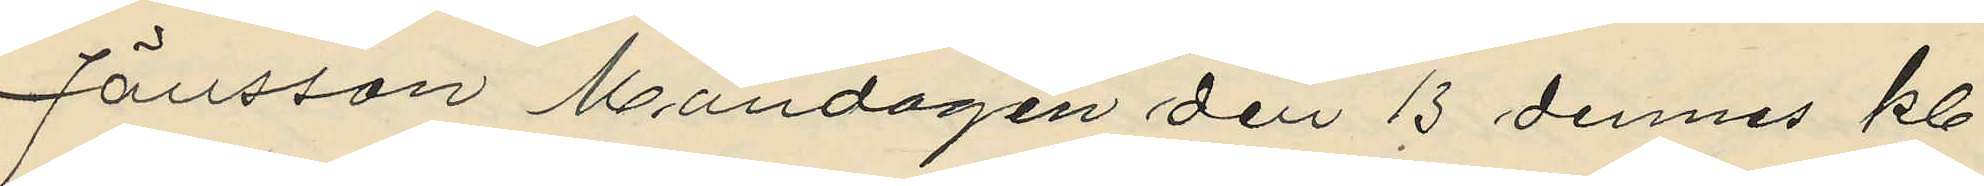Jönsson Måndagen den 13 dennes kl.
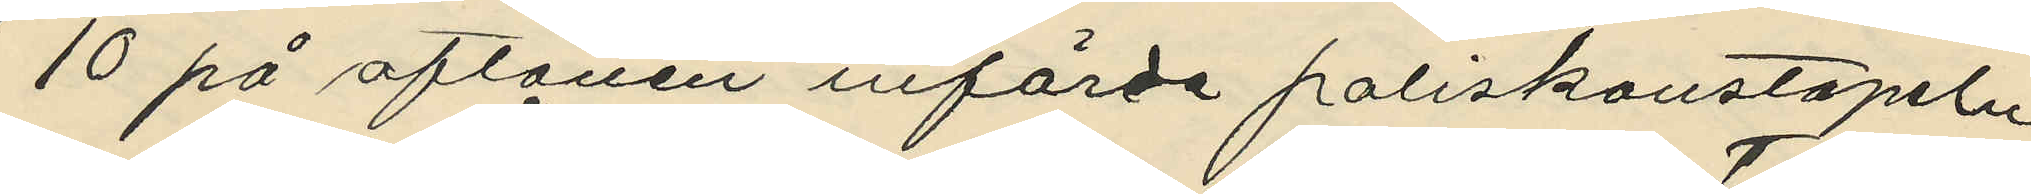10 på aftonen införde poliskonstapeln
